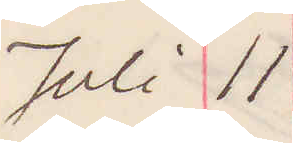Juli 11
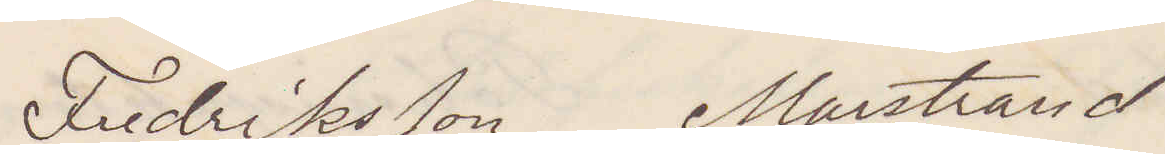Fredriksson Marstrand
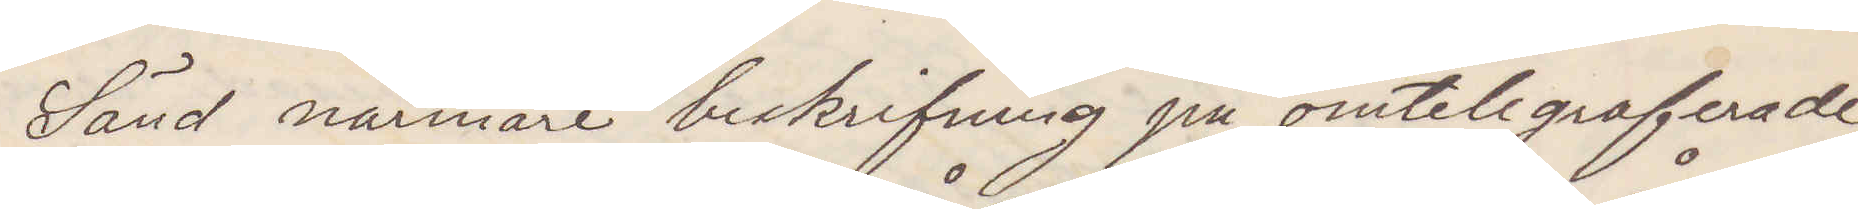Sänd närmare beskrifning på omtelegraferade
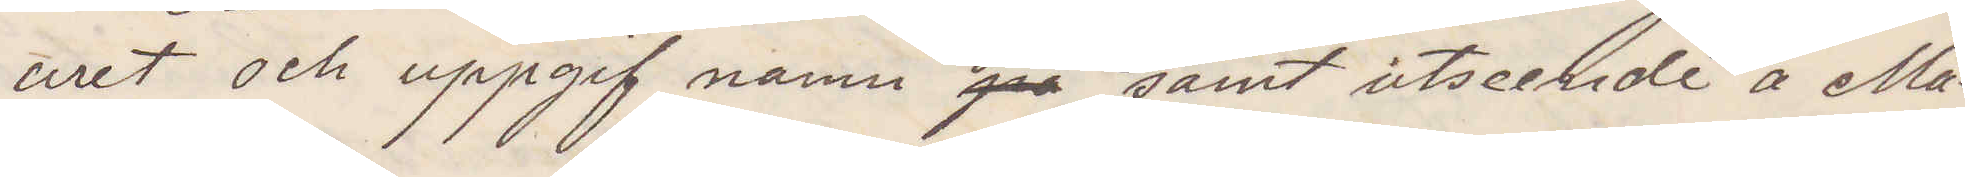uret samt uppgif namn på samt utseende å Ma¬
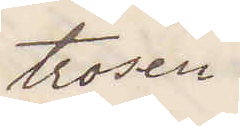trosen.
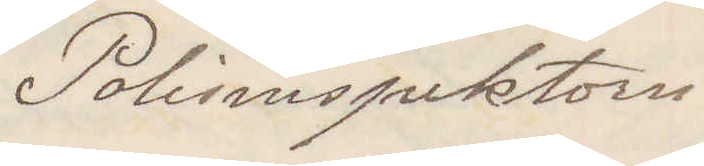Polisinspektorn
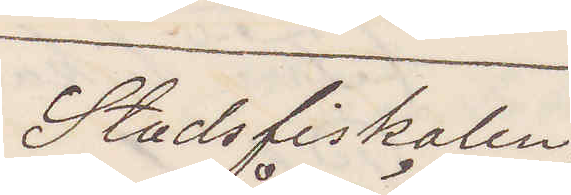Stadsfiskalen, Wexiö
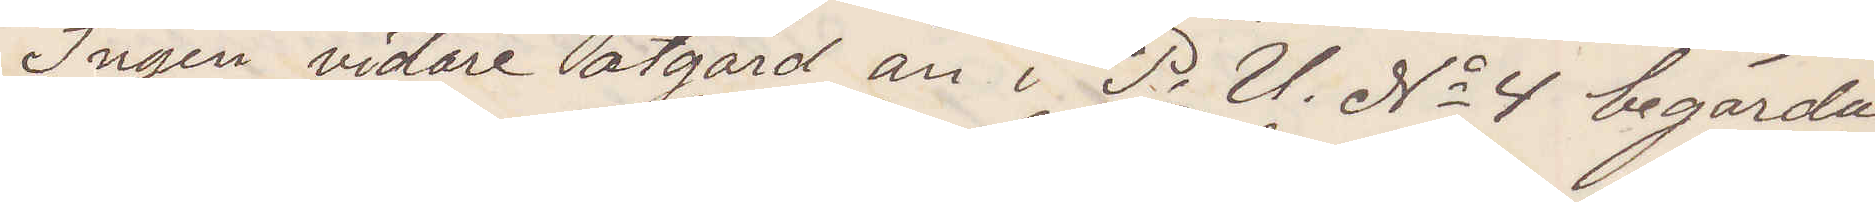Ingen vidare åtgärd än i P. U. No 4 begärda
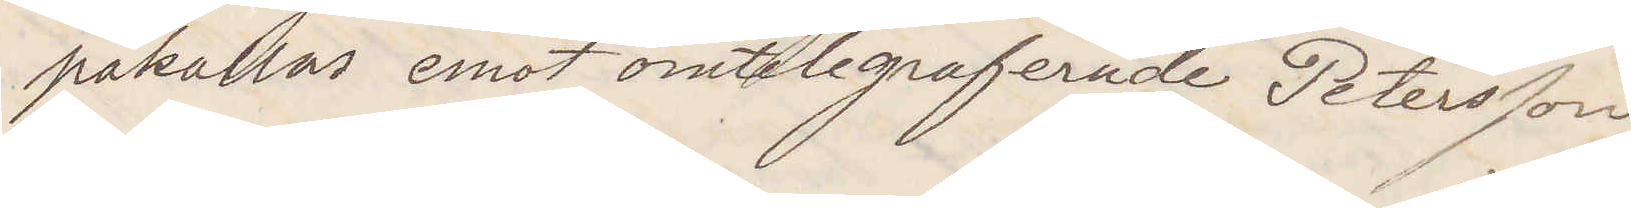påkallas emot omtelegraferade Petersson
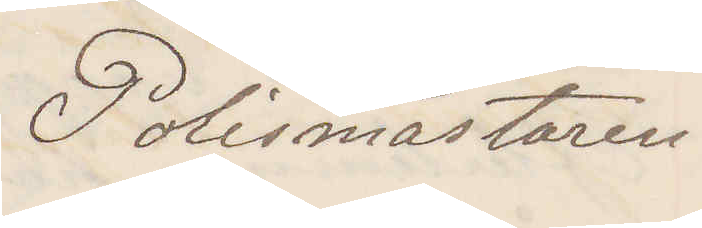Polismästaren
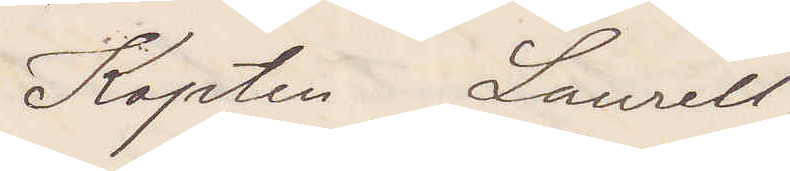Kapten Laurell.
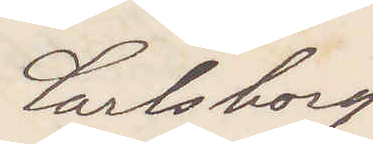Carlsborg
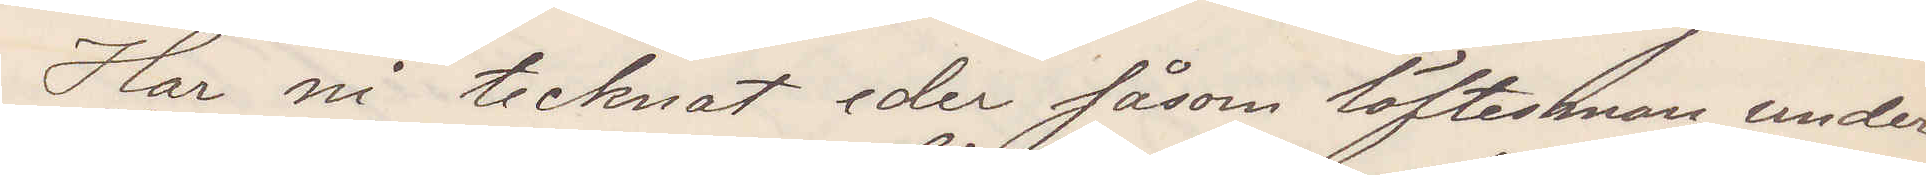Har ni tecknat er såsom löftesman under
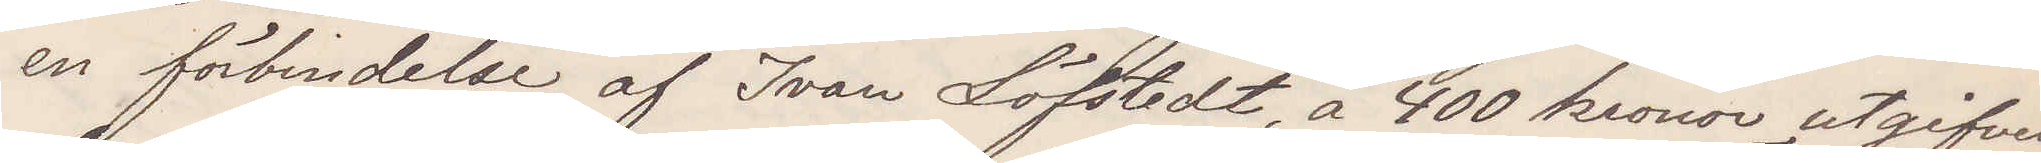en förbindelse af Ivan Löfstedt, å 400 kronor utgifven
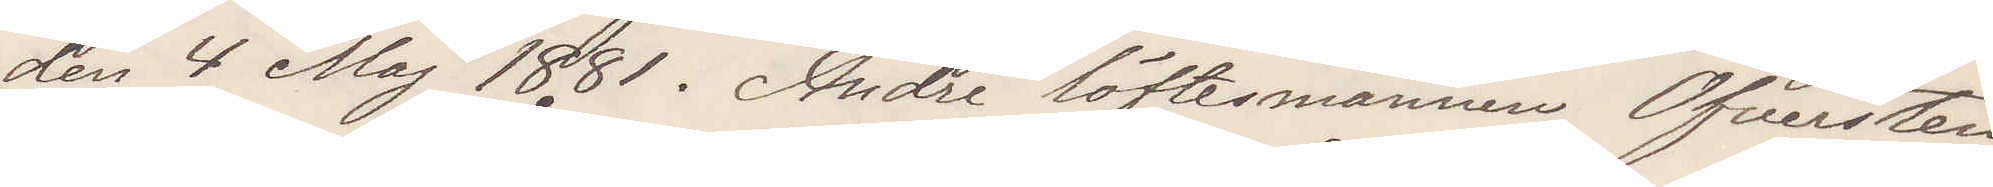den 4 Maj 1881. Andre löftesmannen Öfversten
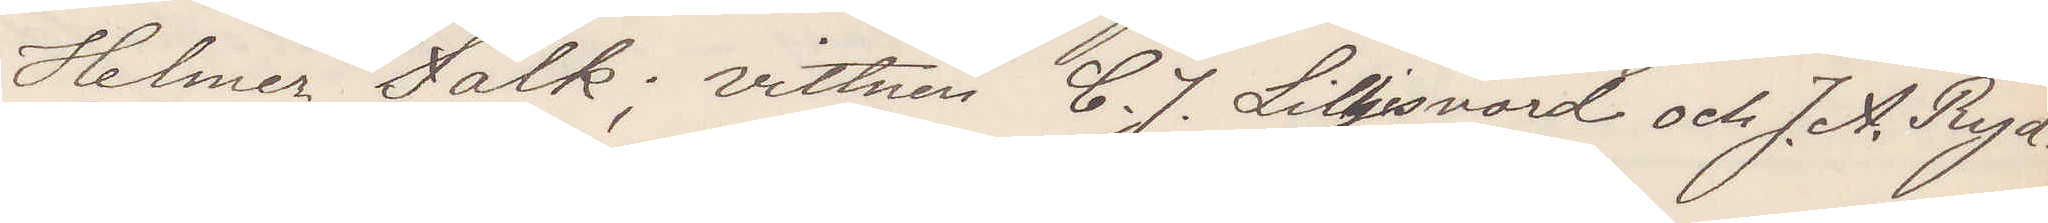Helmer Falk; vittnen C. J. Liljesvärd och J. A. Ryd¬
